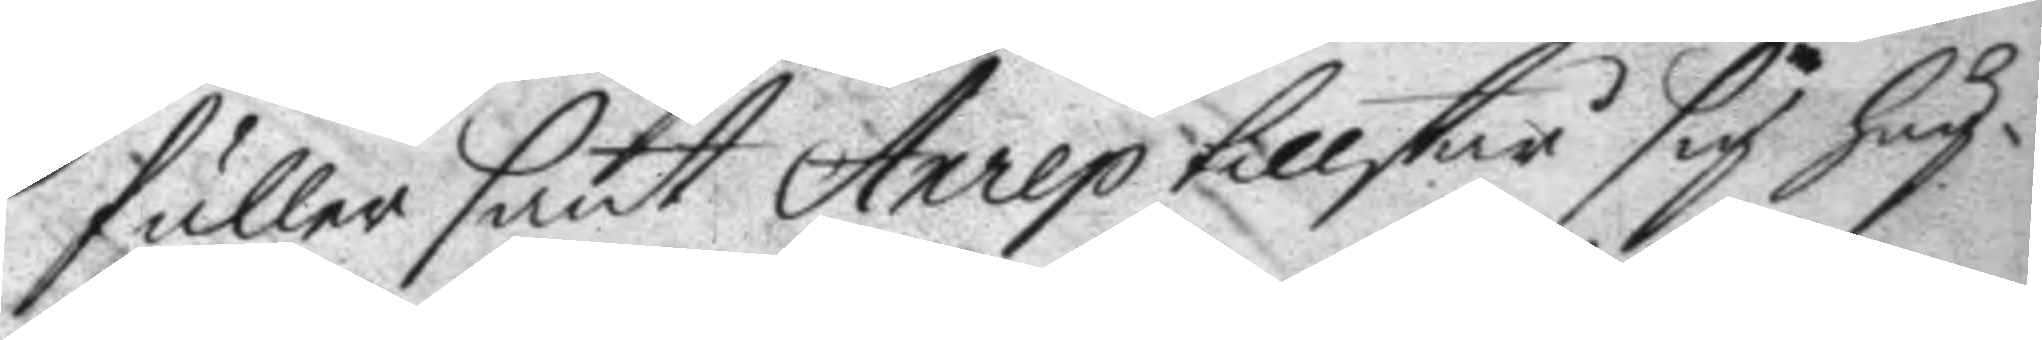fuller sant Anrep tillstår sig hug¬
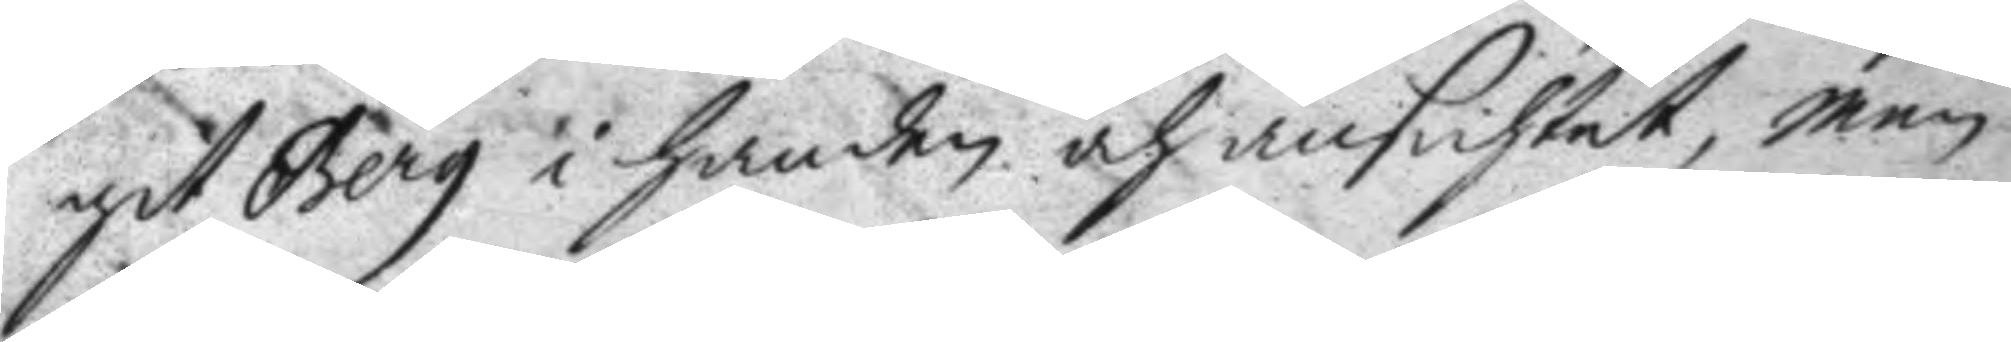git Berg i handen och ansichtet, men
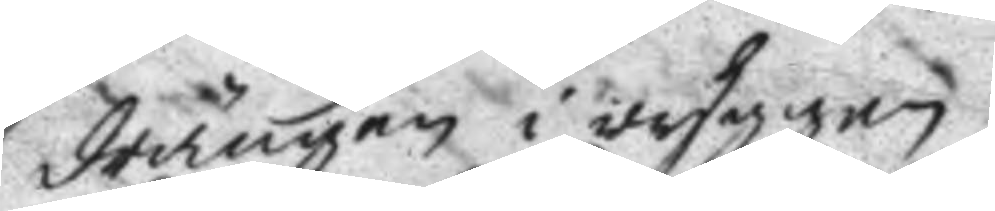drängen i ryggen.
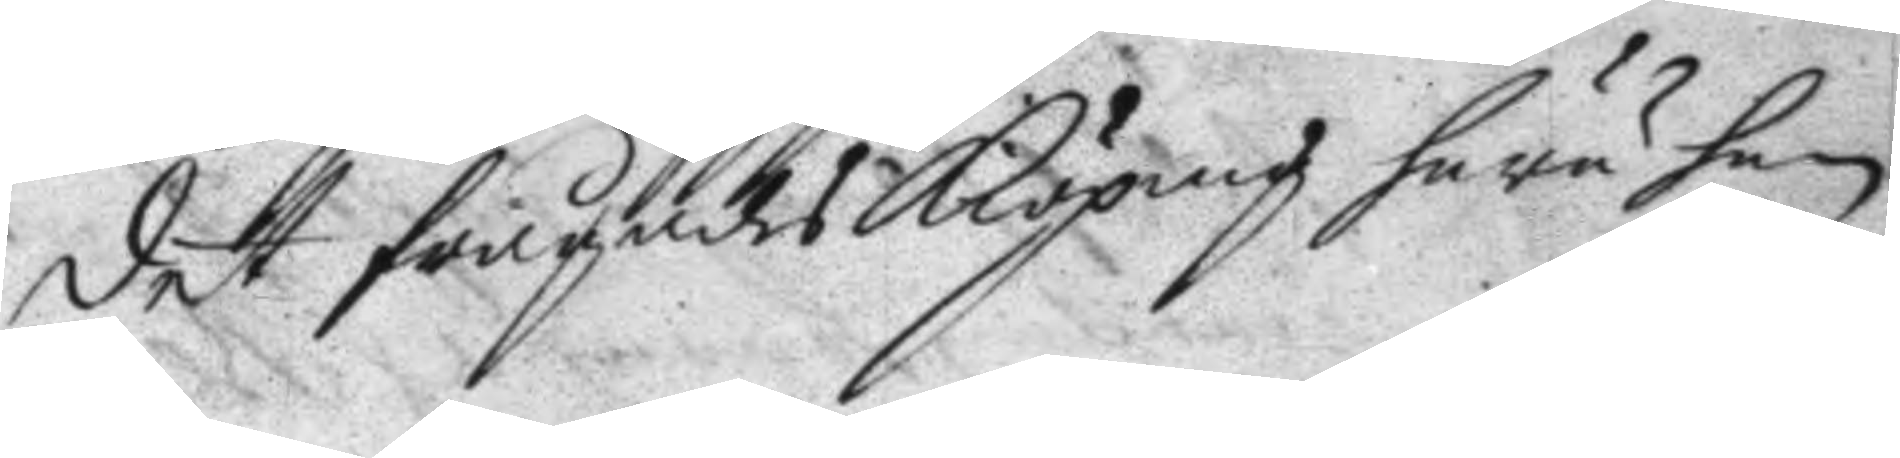det förehades Kiöping huru han
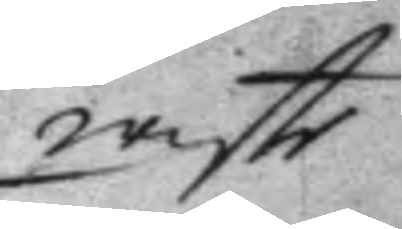wiste
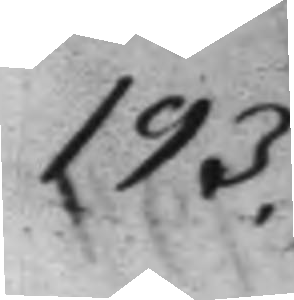193.
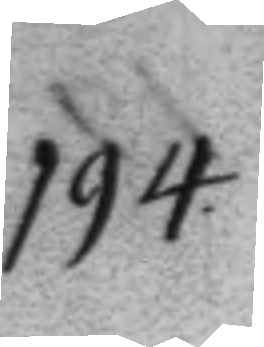194.
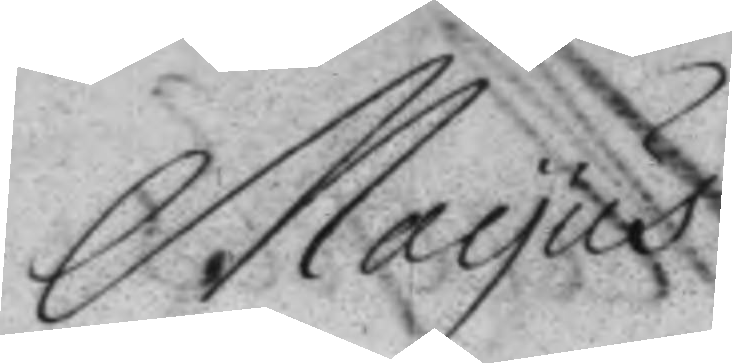Mayus
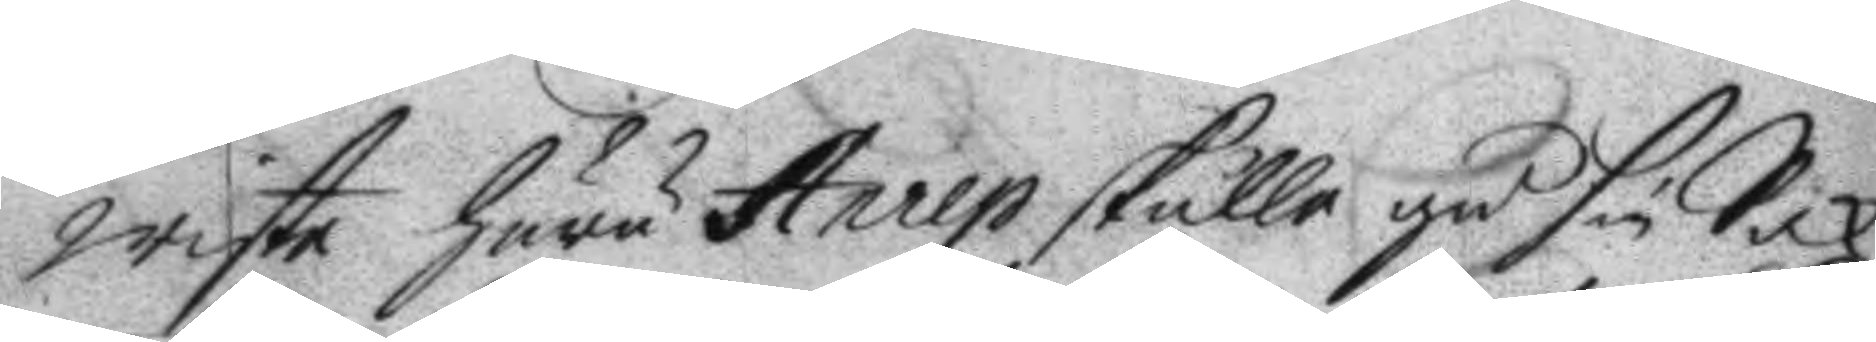wiste huru Anrep skulle gå sin Sak
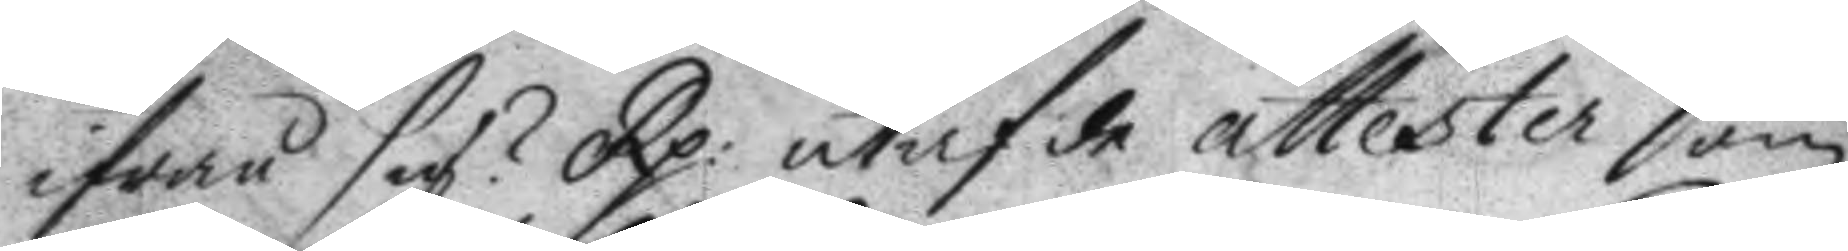ifrån sig? Rp: utaf de attester som
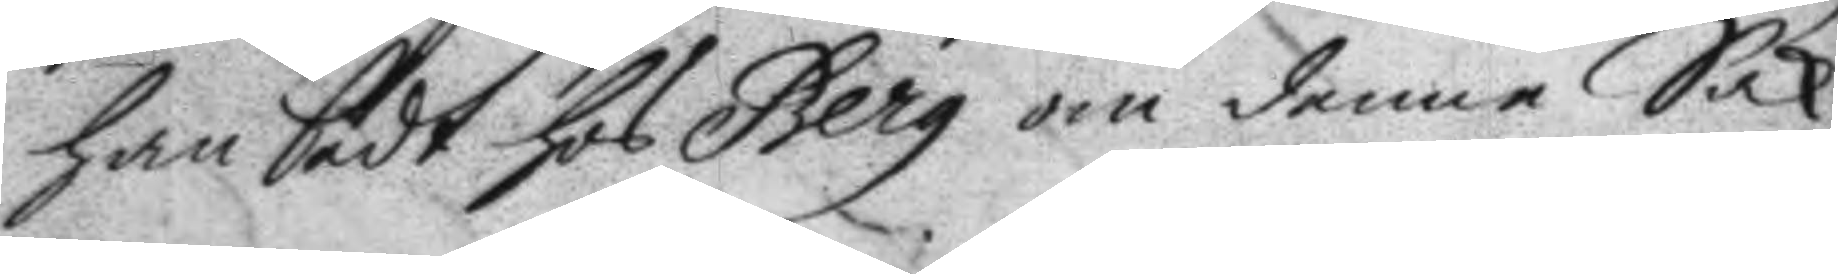han fådt hos Berg om denne Sak,
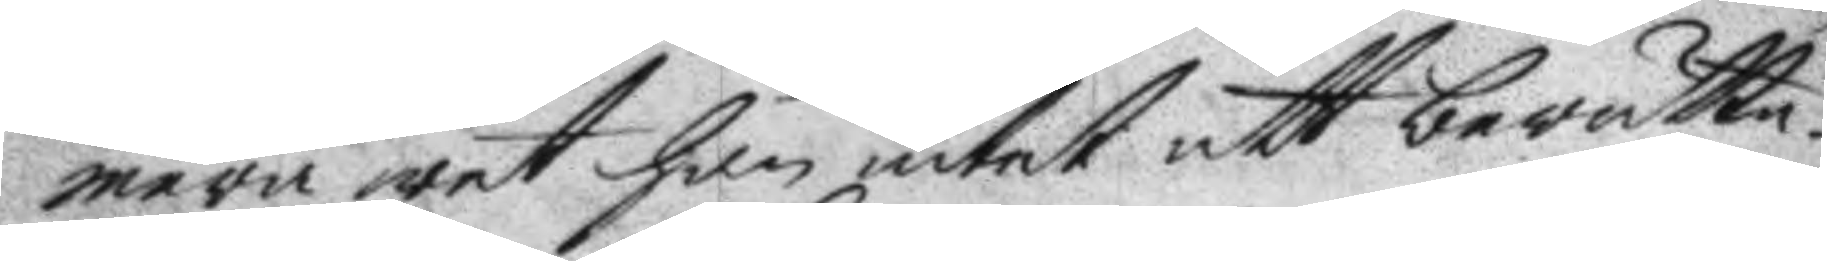mera wet han intet att berätta.
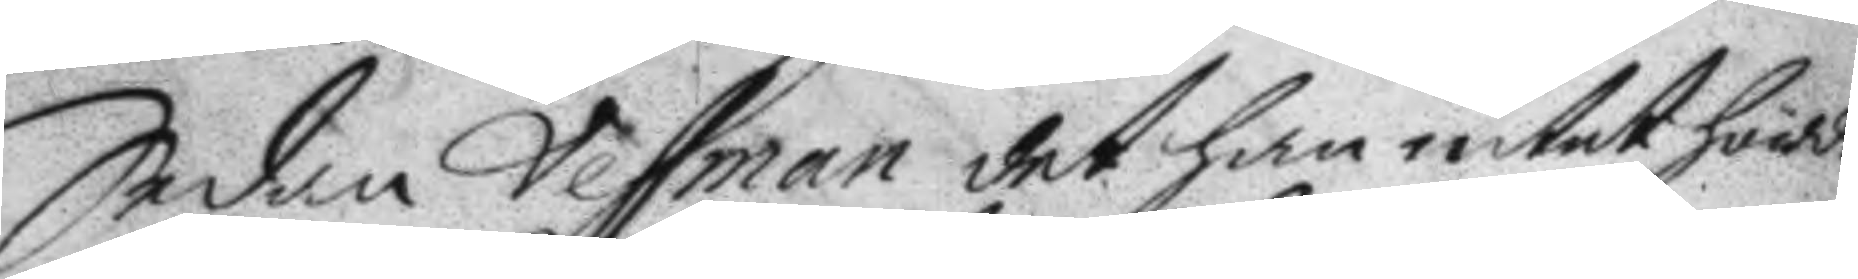Sedan Vessman det han intet hörde
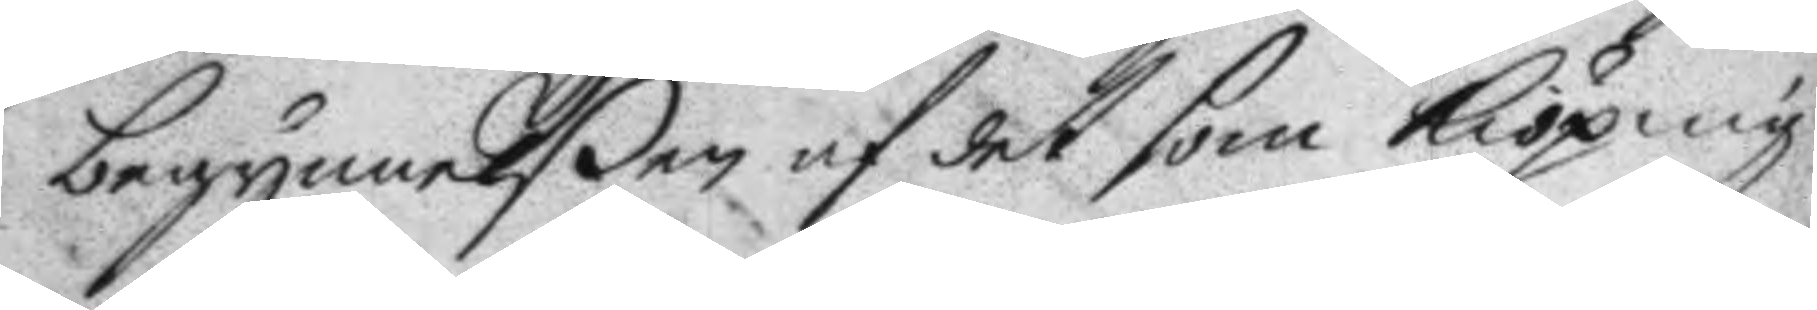begynnelßen af det som Kiöping
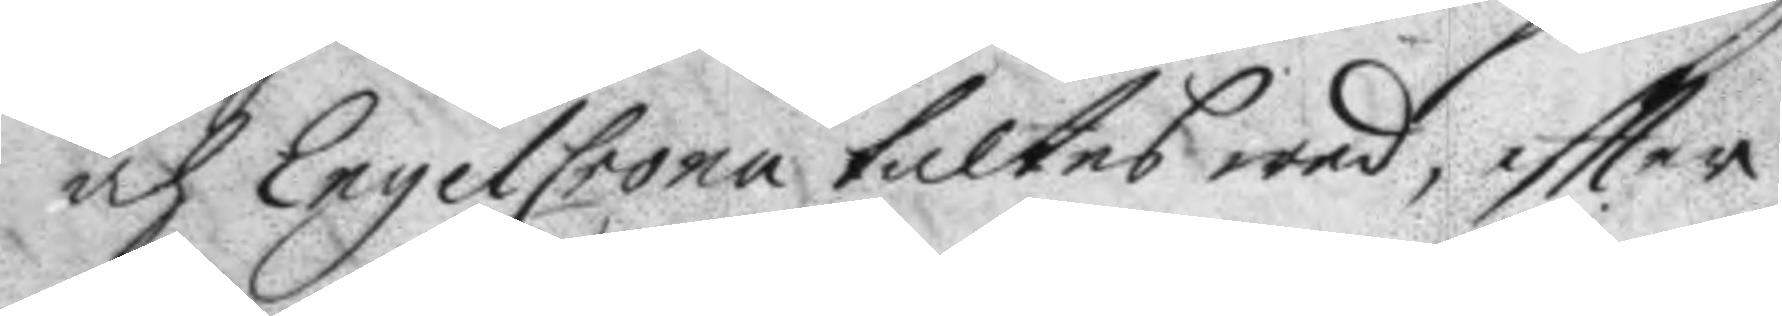och EngelCrona taltes wed, eftter
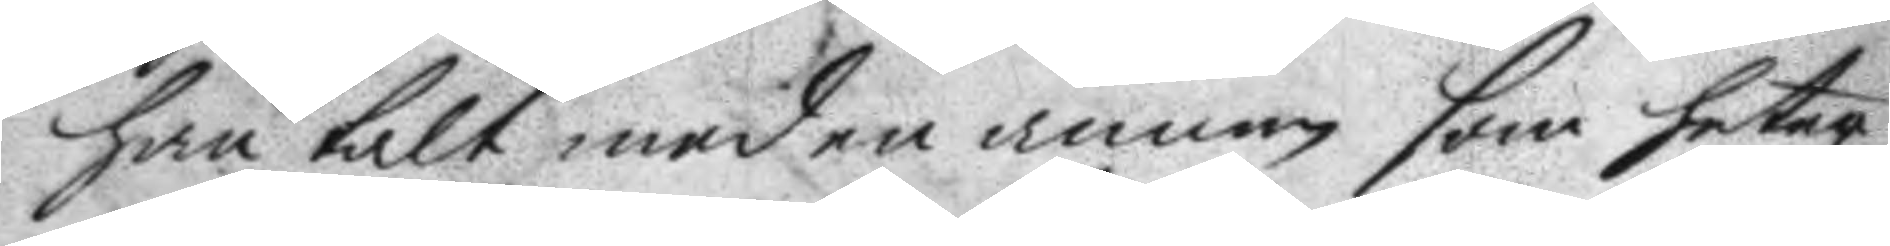han talt med en annan som heter
